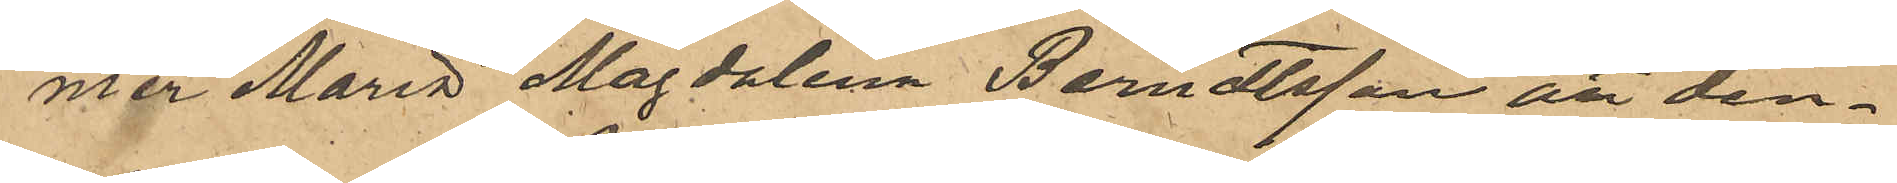mer Maria Magdalena Berndtsson att den¬
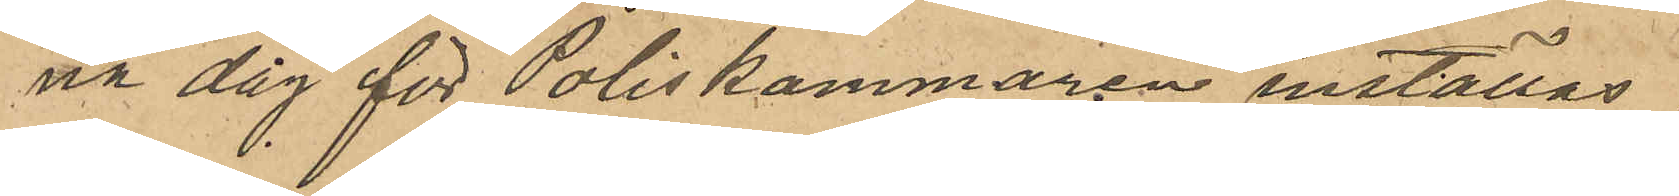na dag för Poliskammaren inställas.
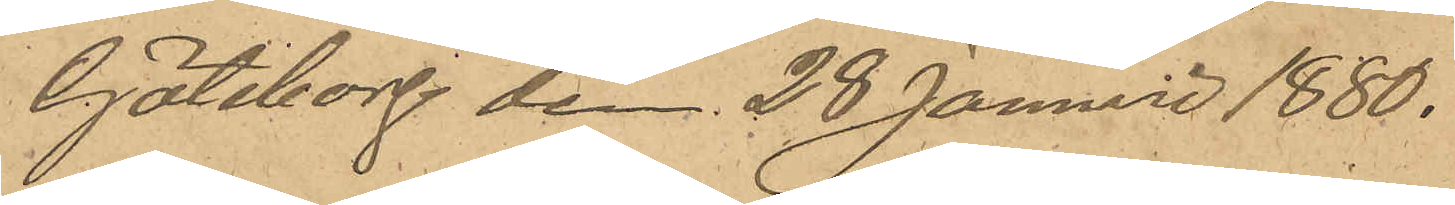Göteborg den 28 Januari 1880.
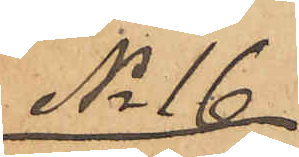No 16
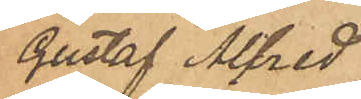Gustaf Alfred
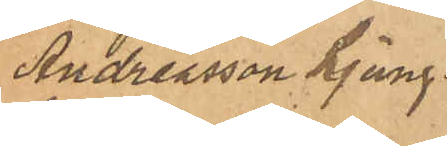Andreasson Ljung¬
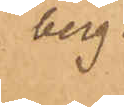berg.
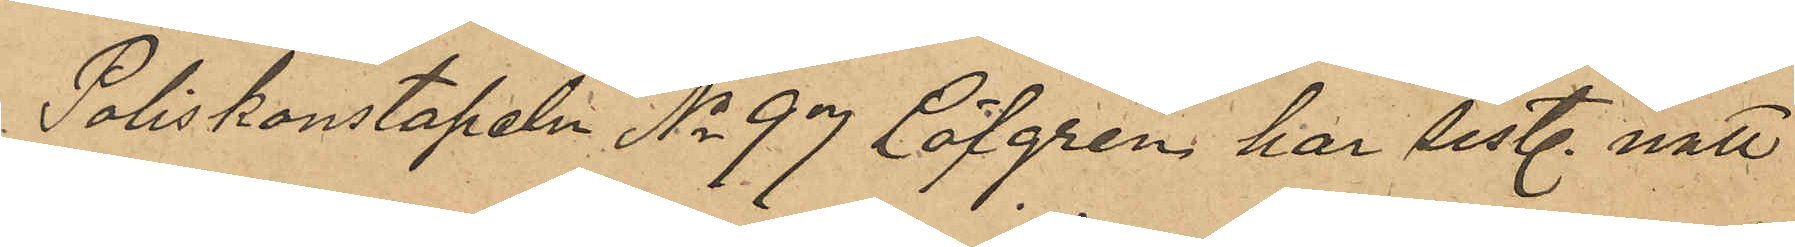Poliskonstapeln No 97 Löfgren har sist. natt
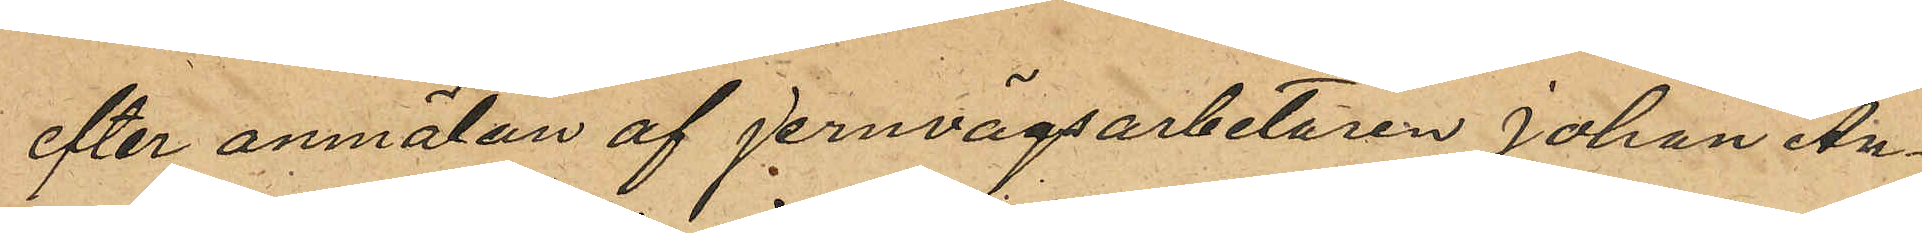efter anmälan af jernvägsarbetaren Johan An¬
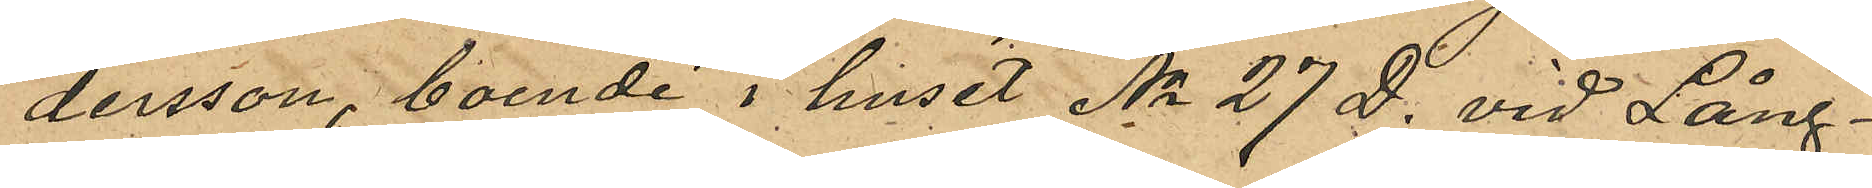dersson, boende i huset No 27 D. vid Lång¬
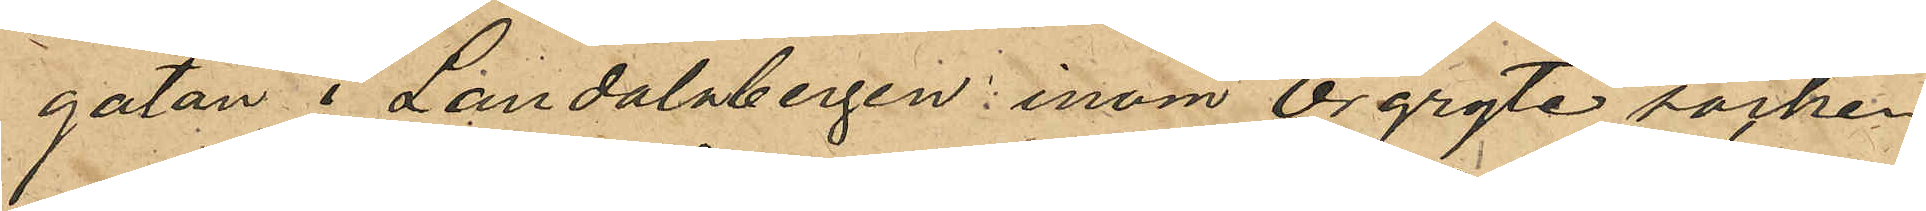gatan i Landalabergen inom Örgryte socken
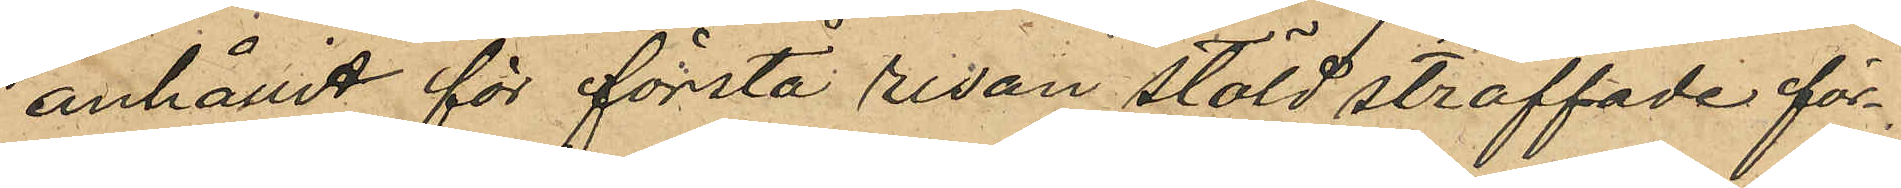anhållit för första resan stöld straffade för¬
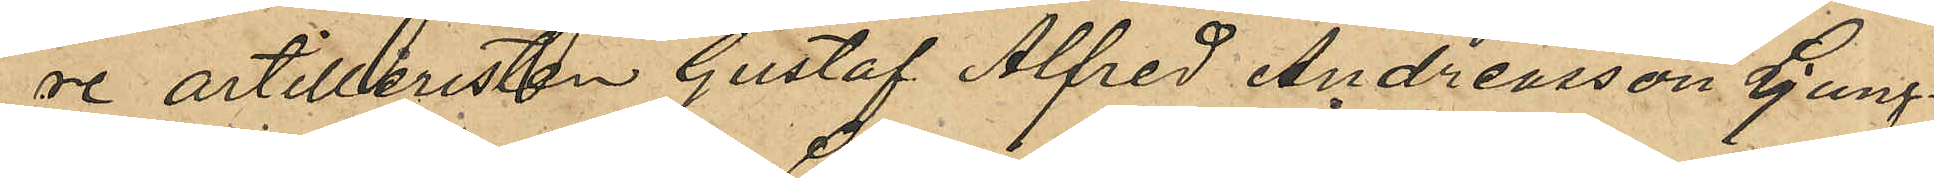re artilleristen Gustaf Alfred Andreasson Ljung¬
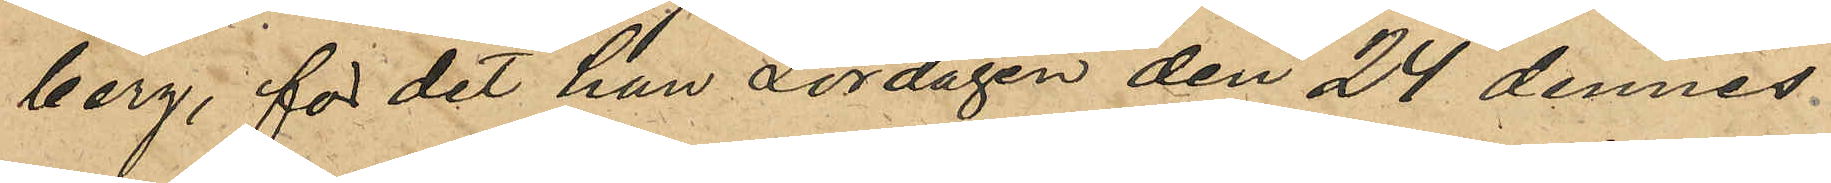berg, för det han Lördagen den 24 dennes
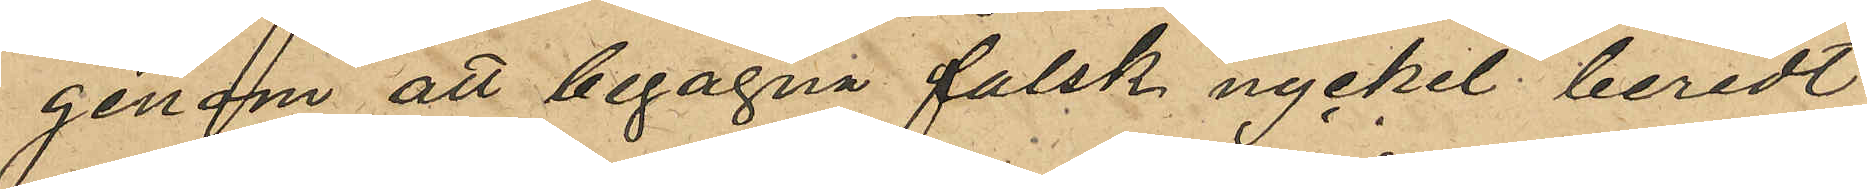genom att begagna falsk nyckel beredt
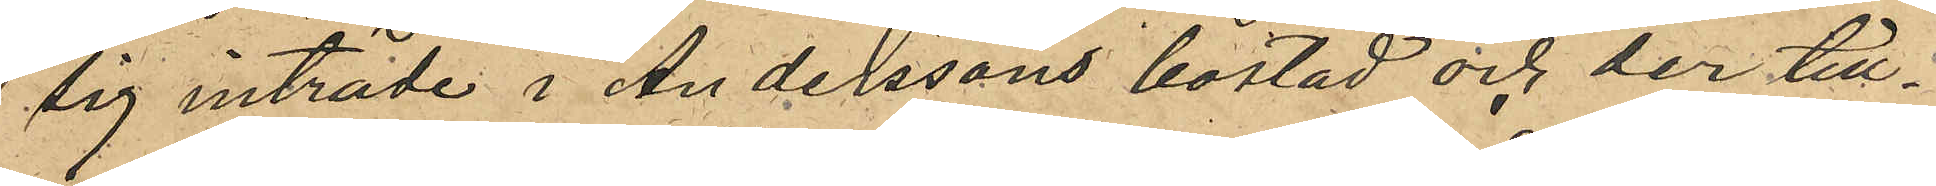sig inträde i Anderssons bostad och der till¬
